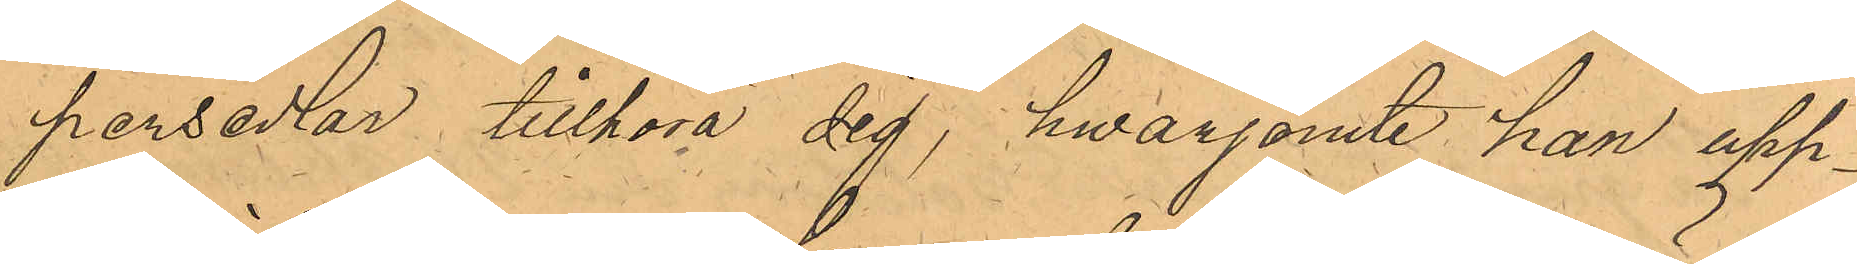persedlar tillhöra sig, hwarjamte han upp¬
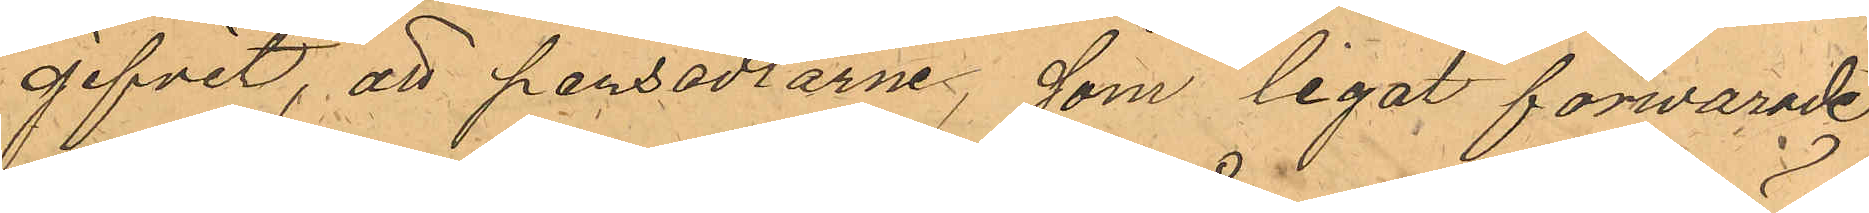gifvit, att persedlarne som legat förwarade
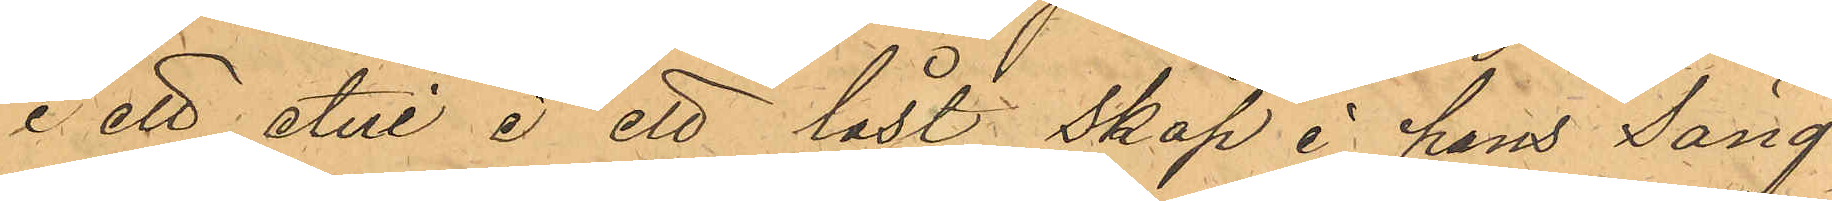i ett etui i ett låst skåp i hans Säng¬
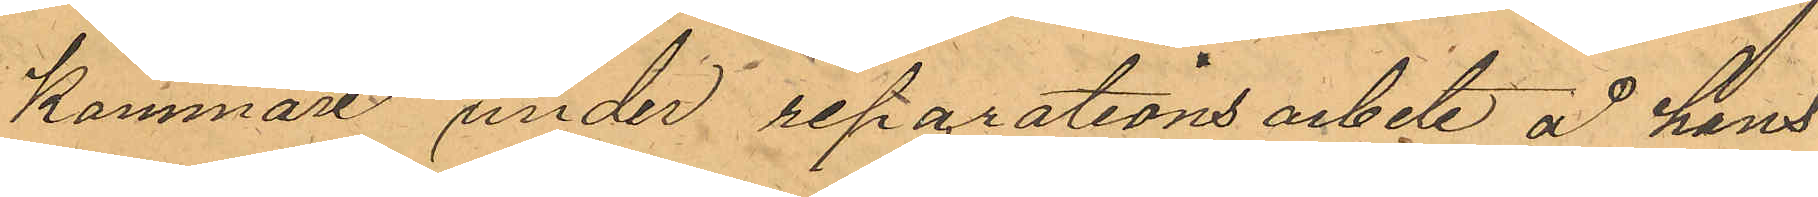kammare under reparationsarbete å hand
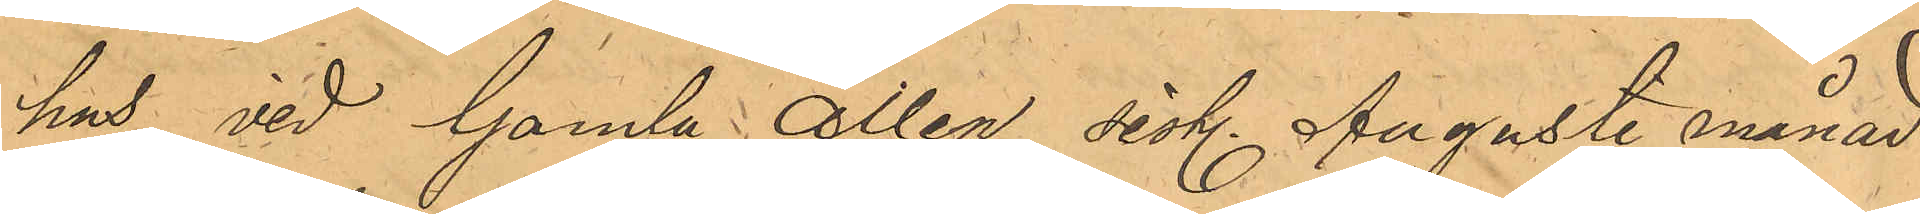hus vid Gamla Allén sistl. Augusti månad
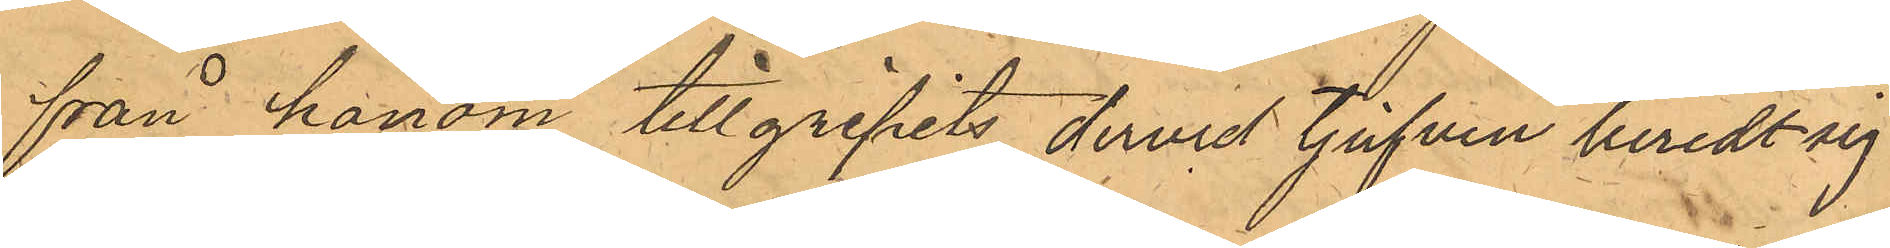från honom tillgripits dervid tjufven beredt sig
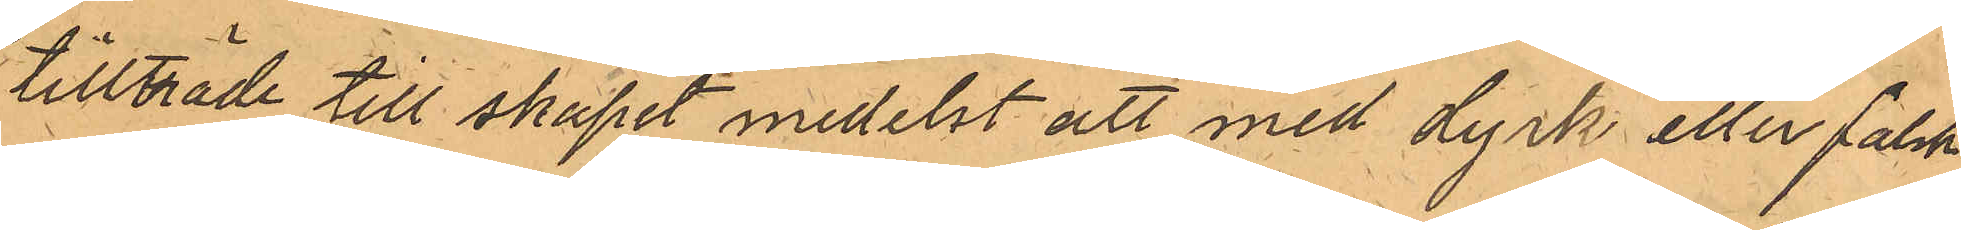tillträde till skåpet medelst att med dyrk eller falsk
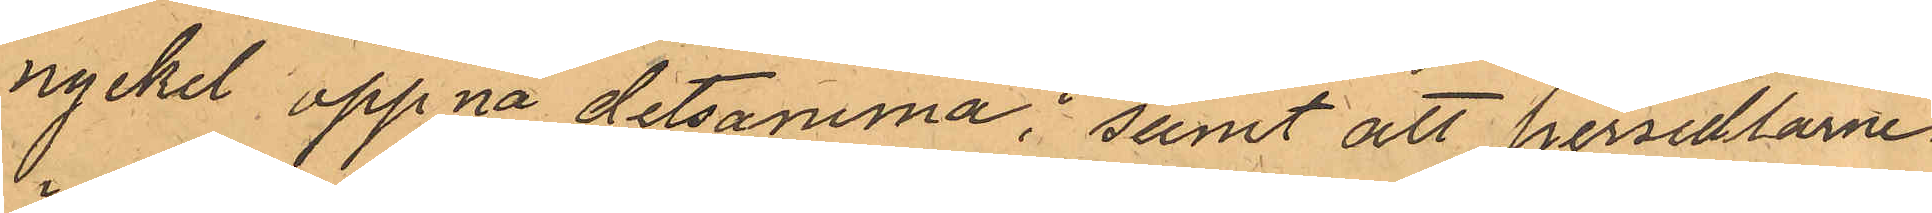nyckel öppna detsamma; samt att persedlarne
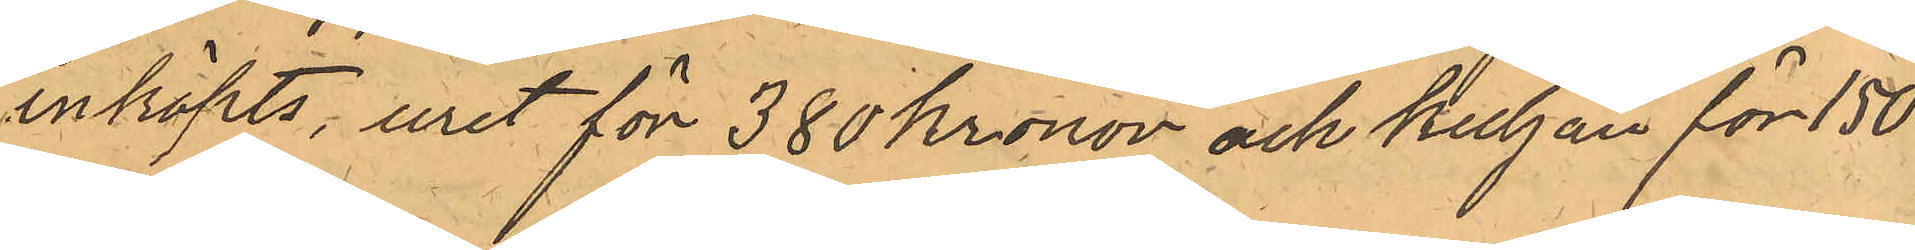inköpts, uret för 380 Kronor och kuljan för 150
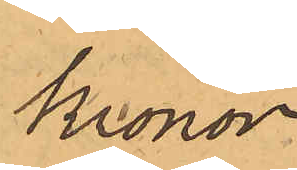Kronor
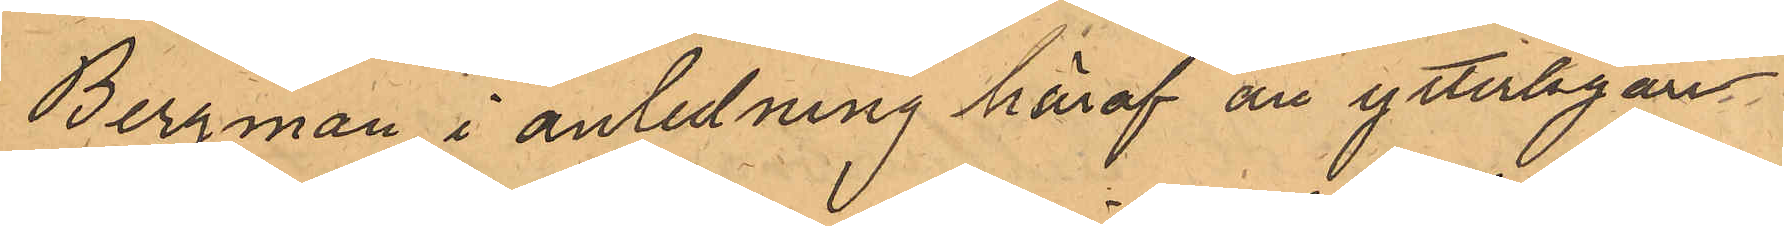Bergman i anledning häraf än ytterligare
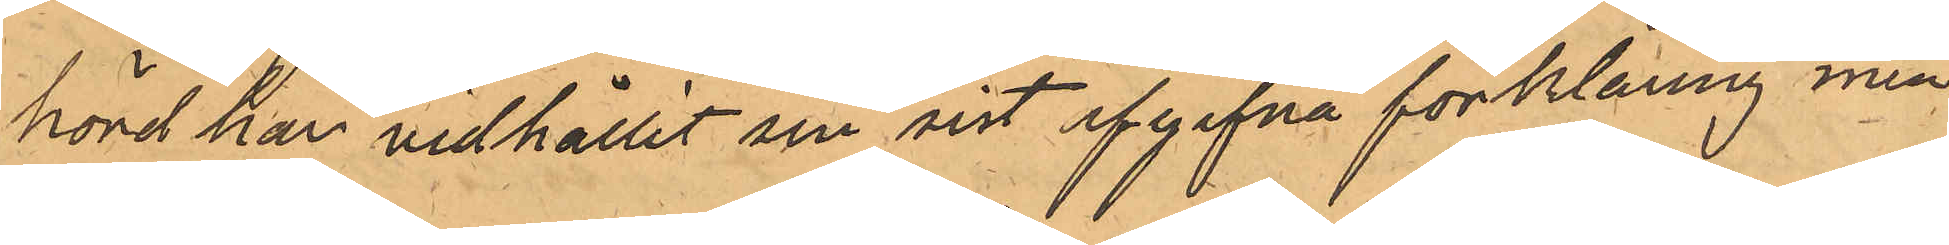hörd har vidhållit om sist afgifna förklaring men
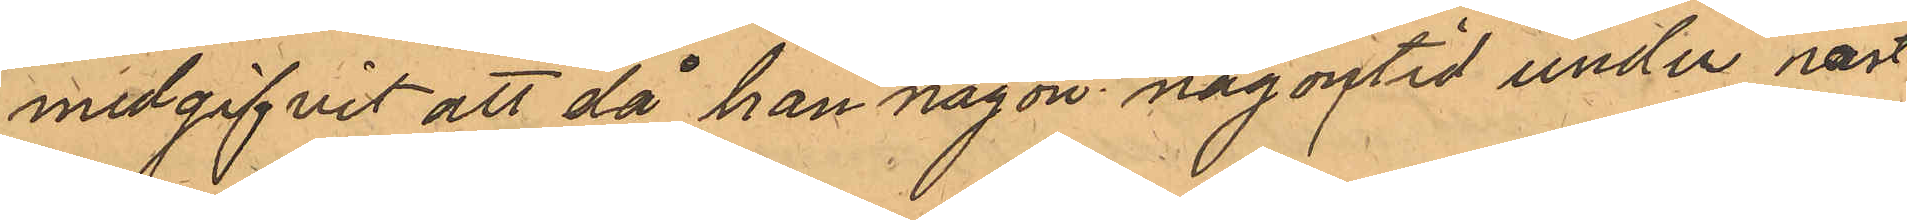medgifvit att då han någon någontid under näst¬
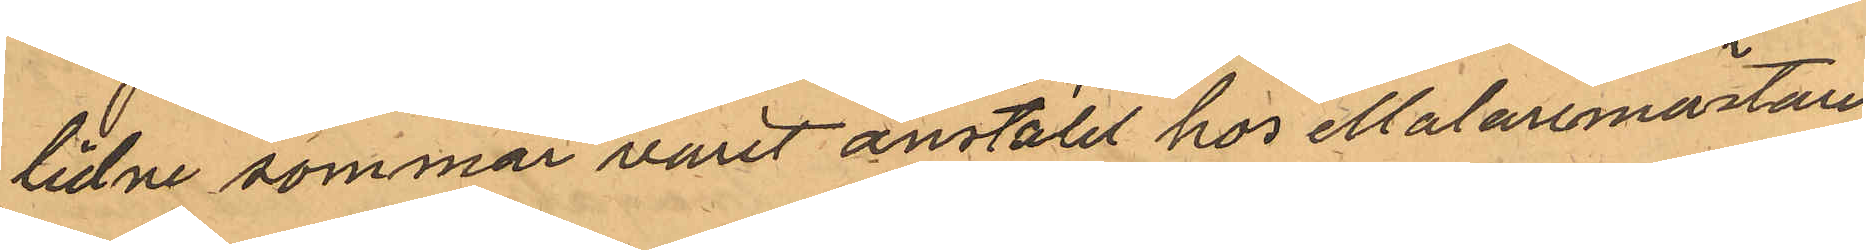lidne sommar varit anställt hos Malaremästare
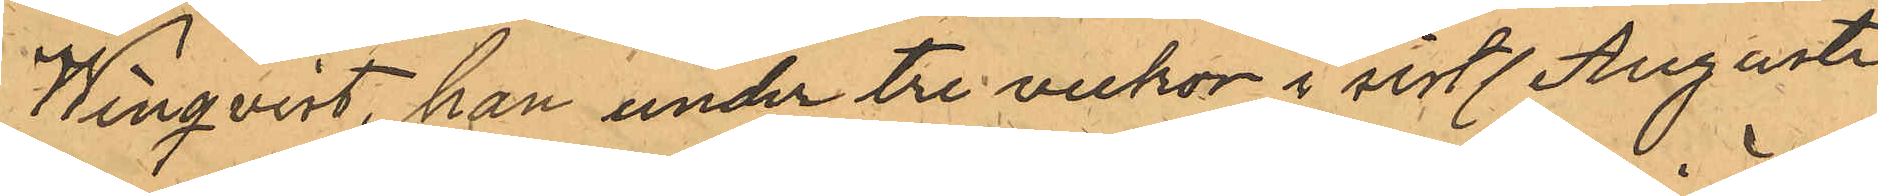Winqvist, han under tre veckor i sistl. Augusti
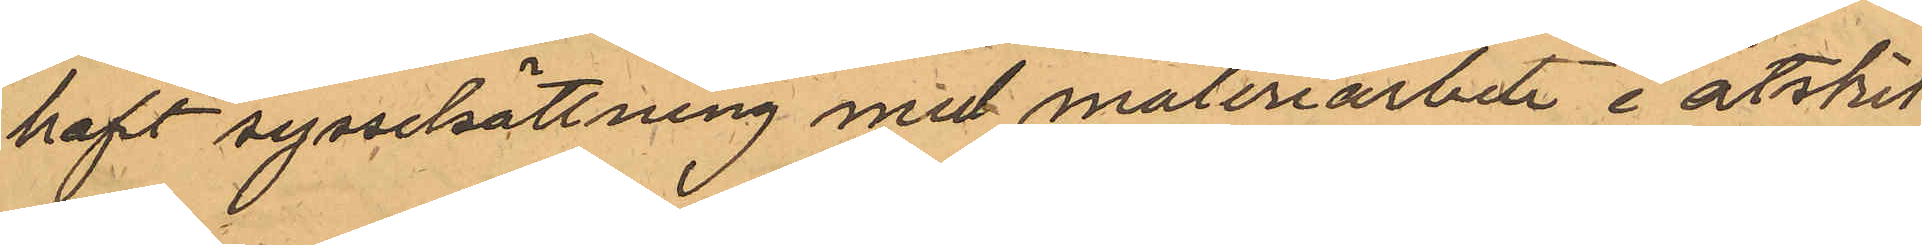haft sysselsättning med måleriarbete i åtskil¬
